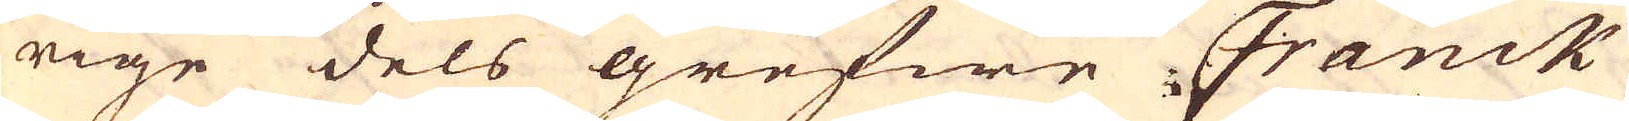rige dels grefwe Franck
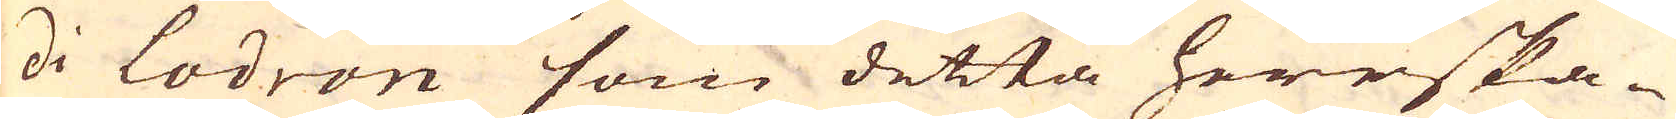di Lodron som detta herrska-
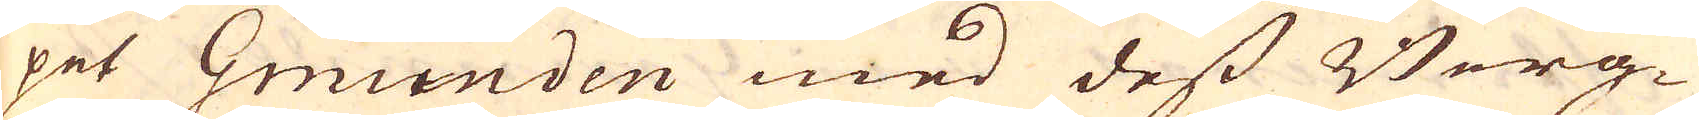pet Gmünden med dess Berg-
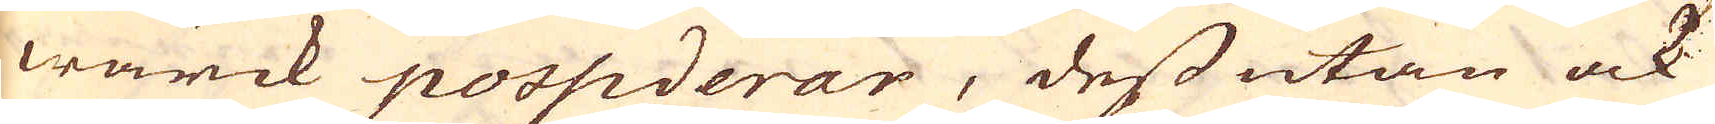wärck possiderar, dessutan ock
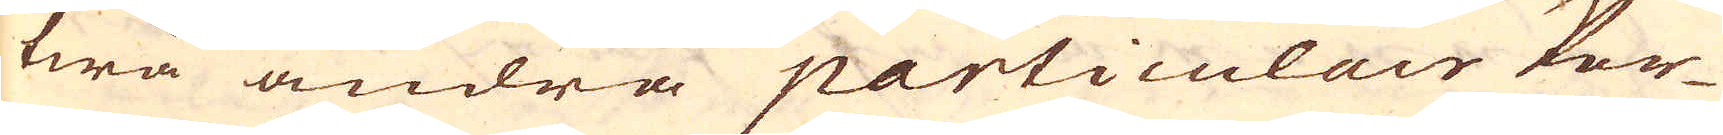twå andra particulair Per-
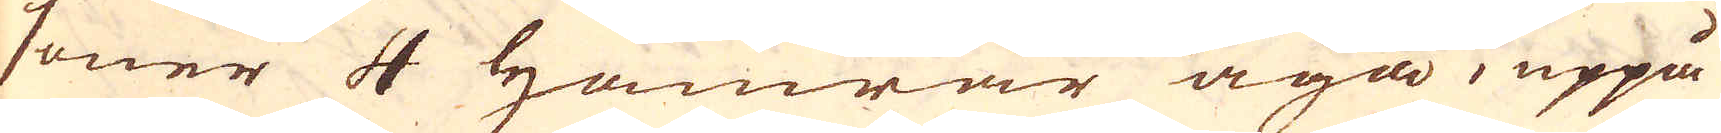soner 4 Hamrar äga, uppå
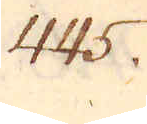445.
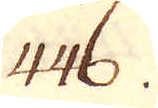446.
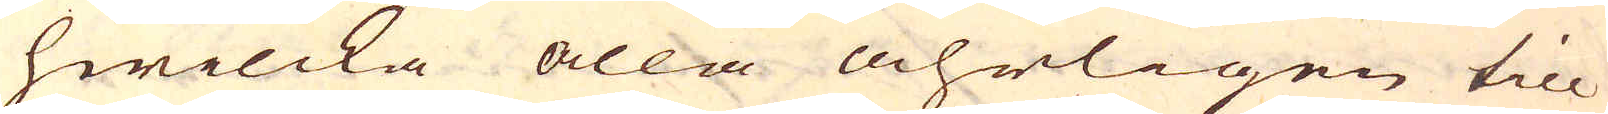hwilcka alla åhrligen till
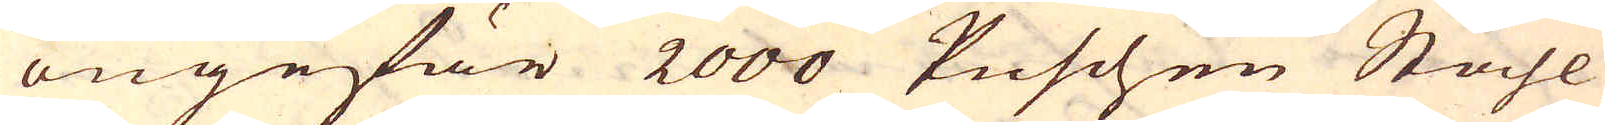ongefär 2000 Puschen Ståhl
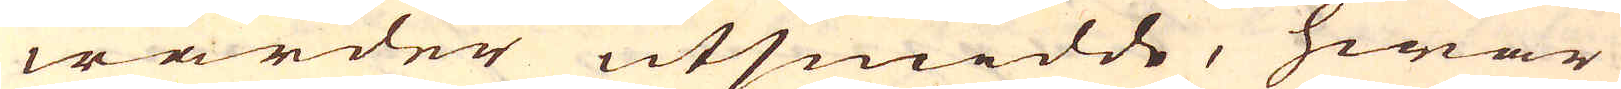warder utsmidde, hwar
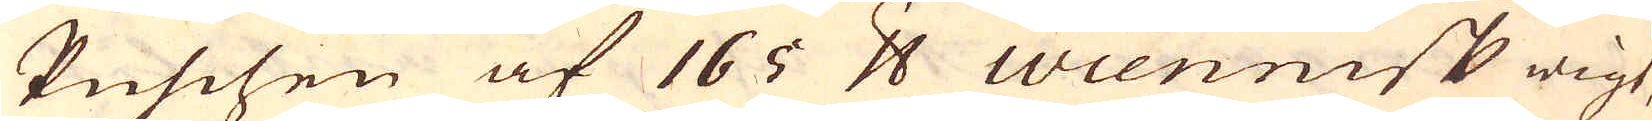Puscsen af 165 skålpund Wiennisk wigt,
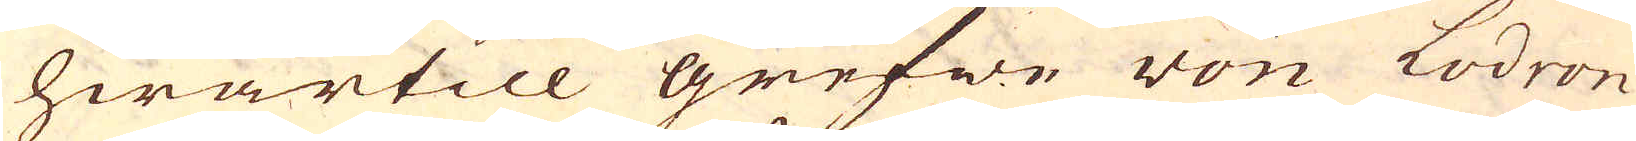hwartill grefwe von Lodron
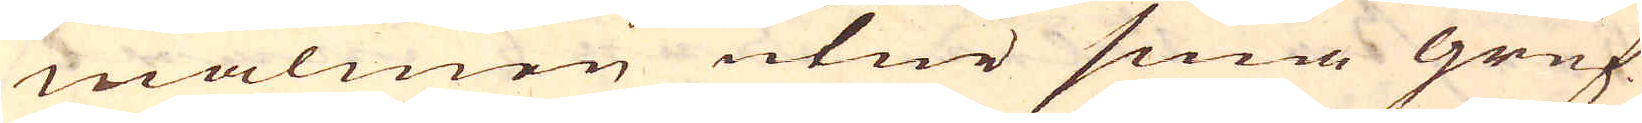malmen utur sina gruf-
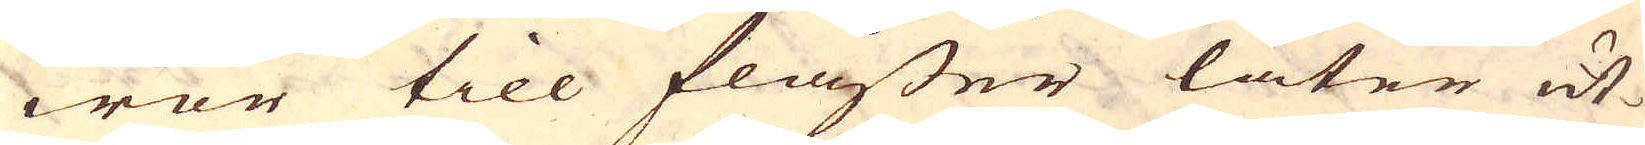wor till flåsser låter ut-
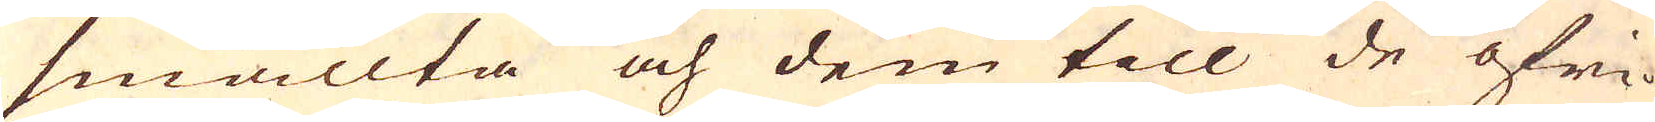smällta och dem till de öfri-
